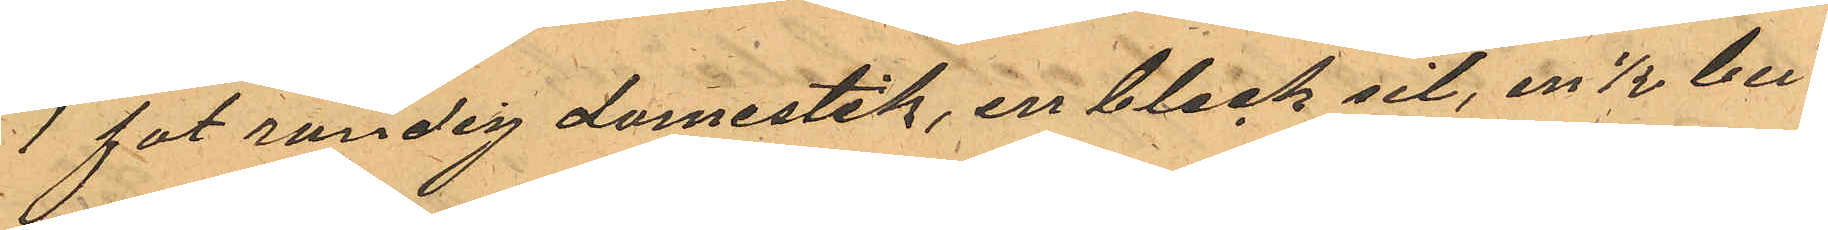1 fot randig domestik, en bleck sil, en 1/2 bu¬
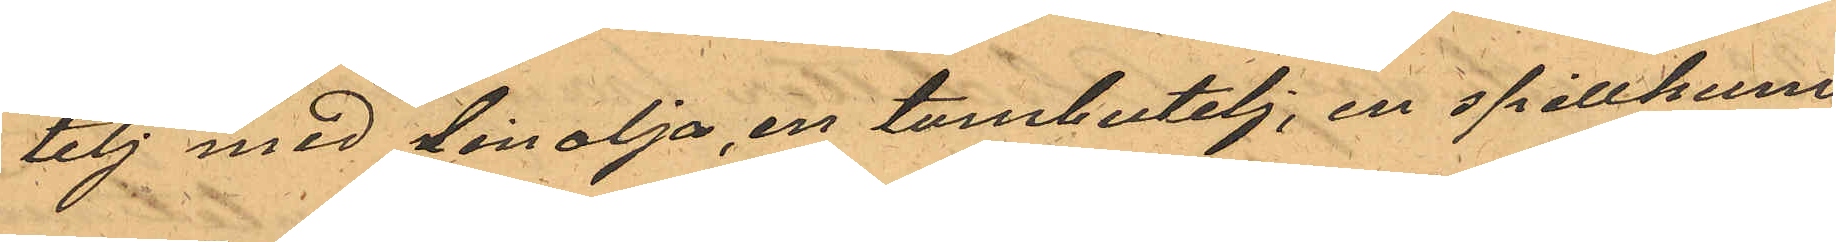telj med linolja, en tombutelj, en spillkum,
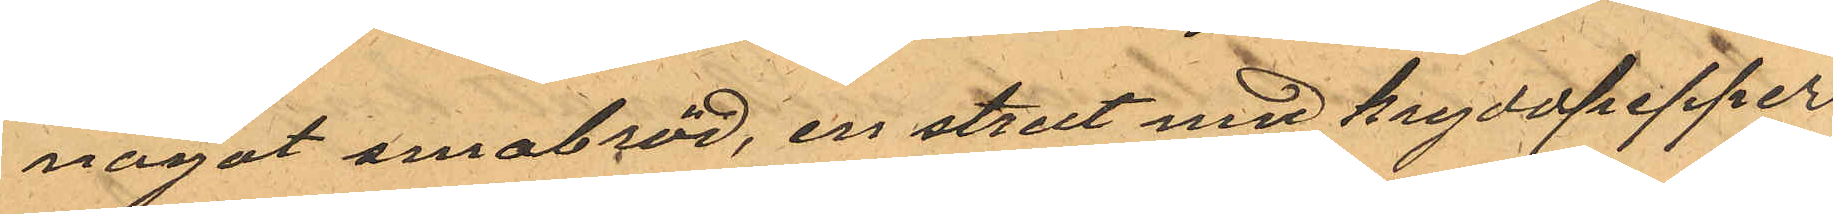något smabröd, en strut med kryddpepper
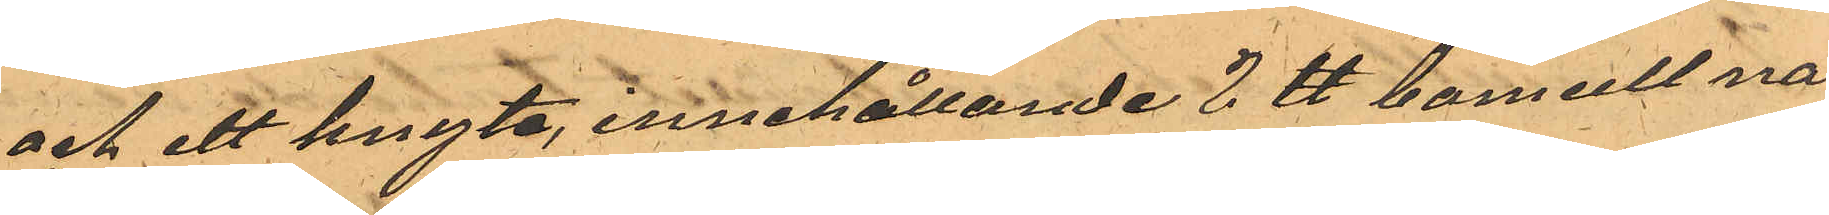och ett knyte, innehållande 2 ℔ bomull nå¬
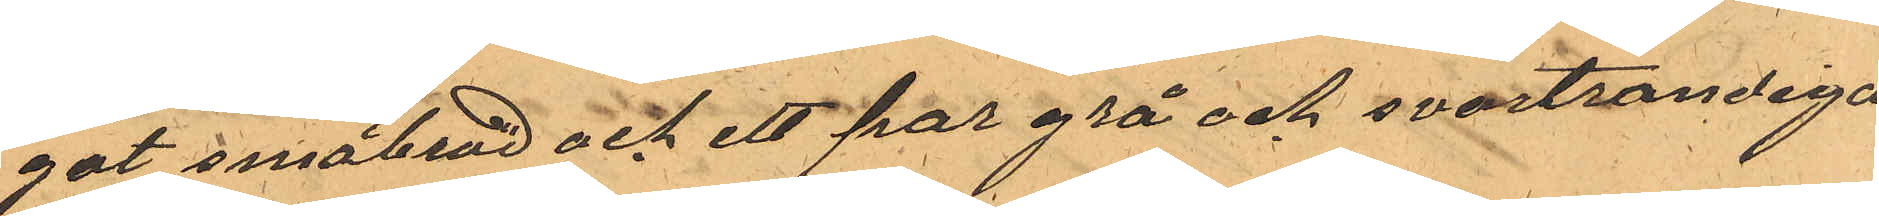got småbröd och ett par grå och svartrandiga¬
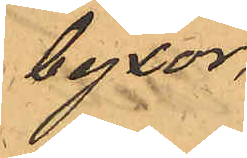byxor.
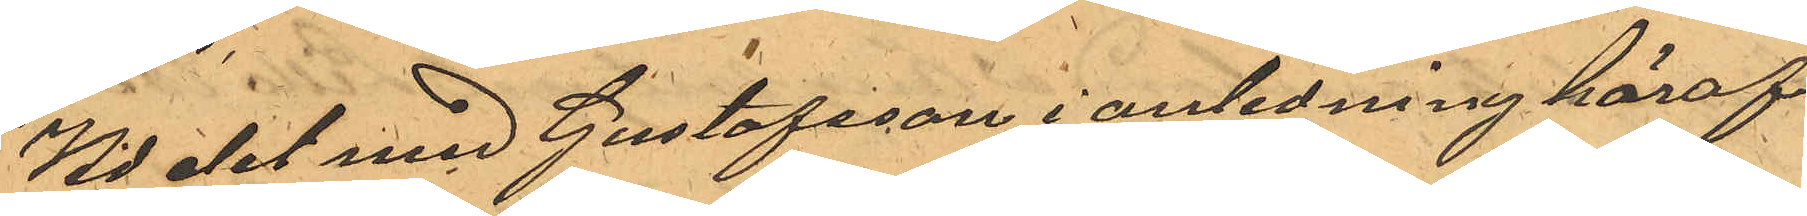Vid det med Gustafsson i anledning häraf
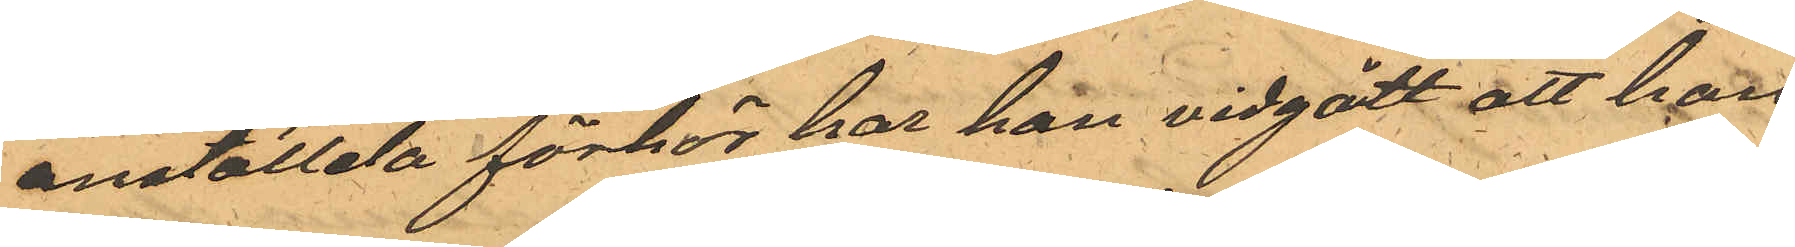anställda förhör har han vidgått att han
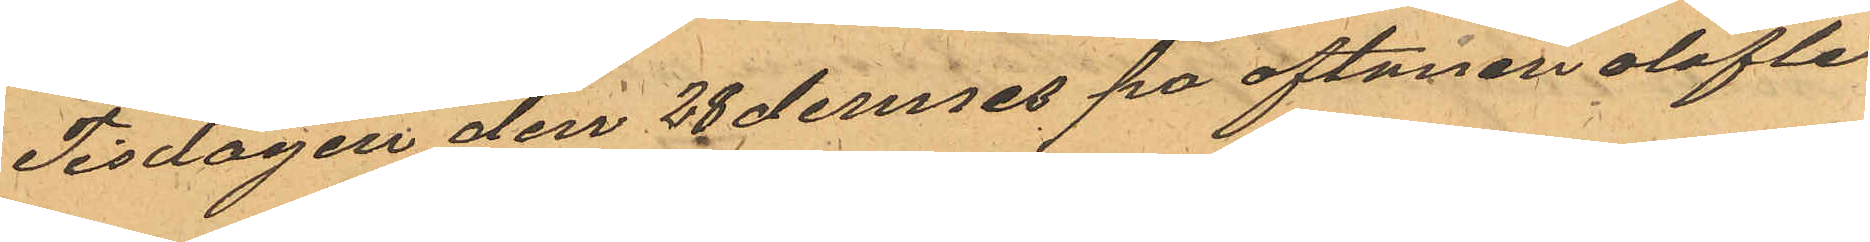Tisdagen den 28 dennes pa aftonen olofli¬
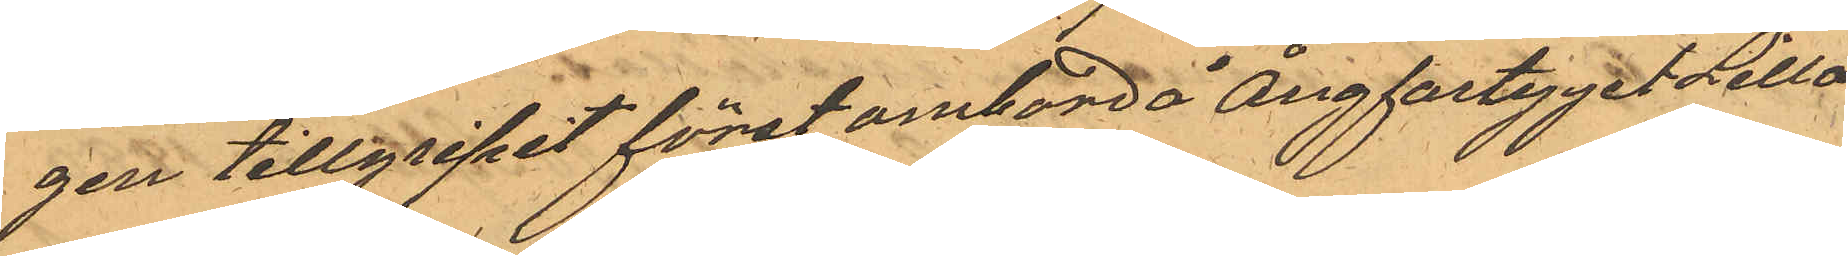gen tillgripit först ombord å ångfartyget Lilla
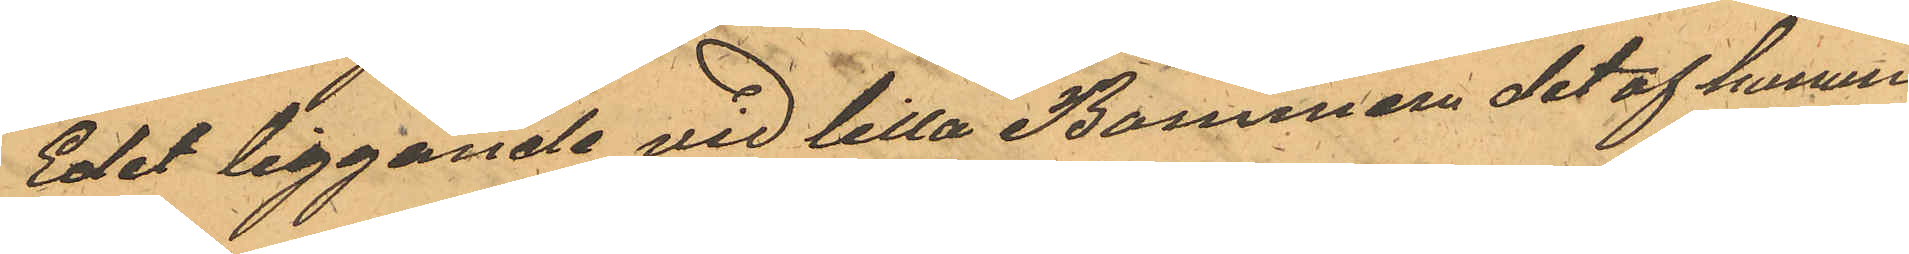Edet liggande vid lilla Bommen det af honom
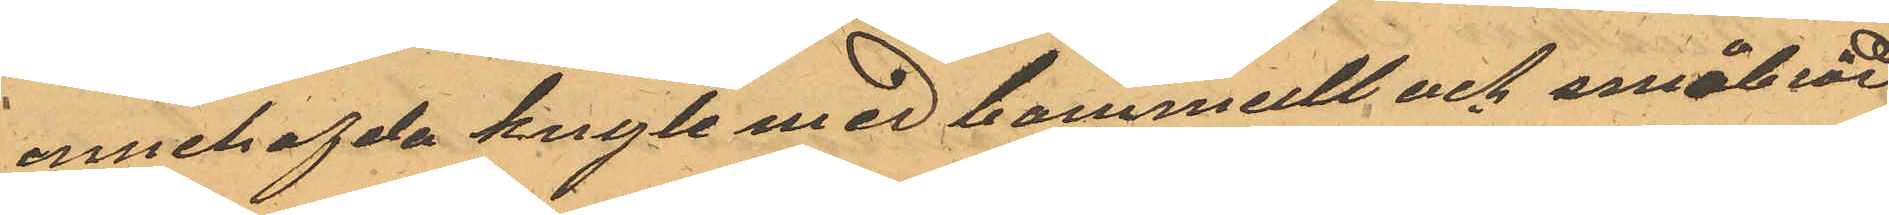innehafvda knyte med bommull och småbrod
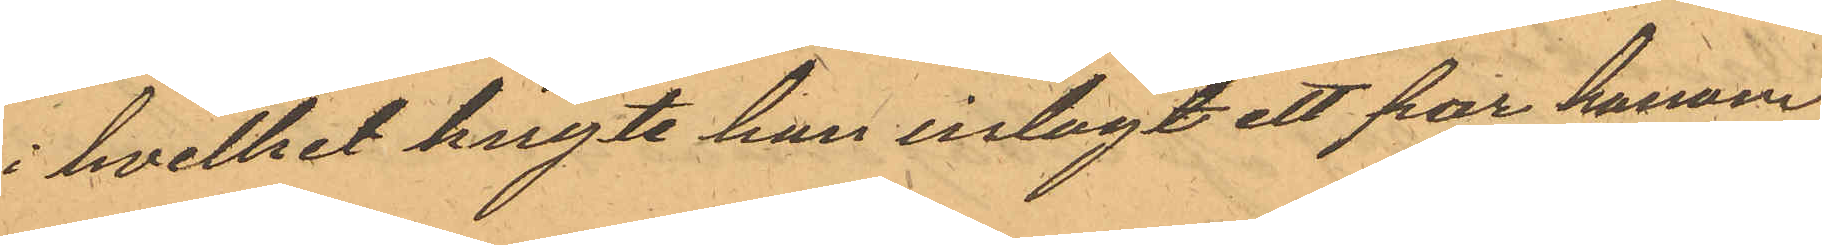i hvilket knyte han inlagt ett par honom
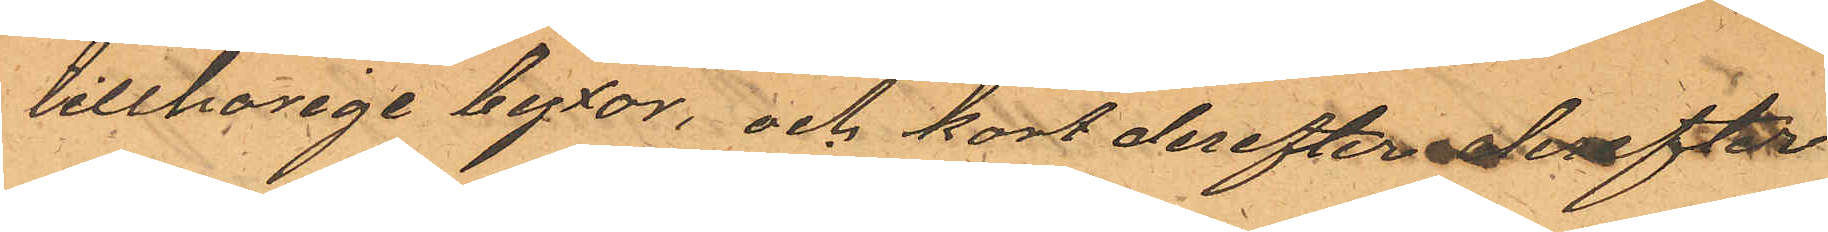tillhorige byxor, och kort derefter derefter
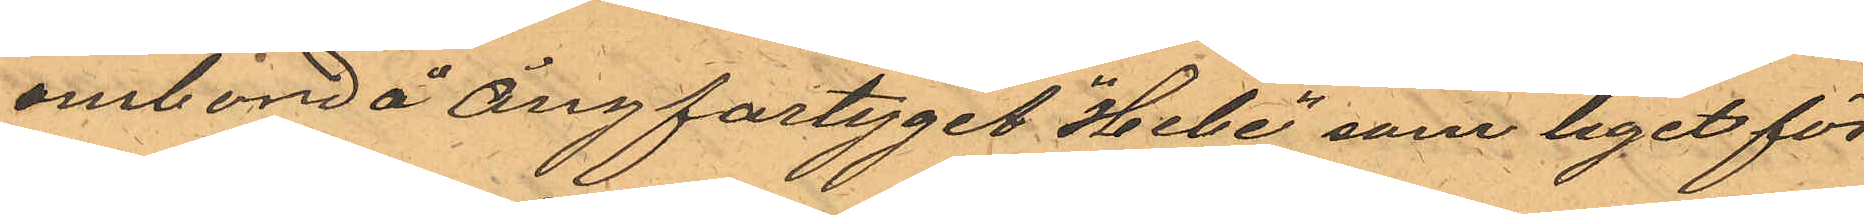ombord å ångfartyget "Hebe" som leget för¬
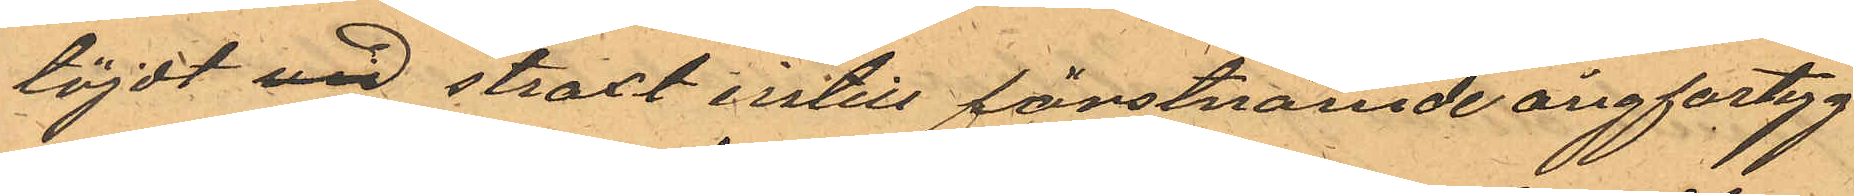töjdt vid straxt intill fönstnämde ångfartyg
